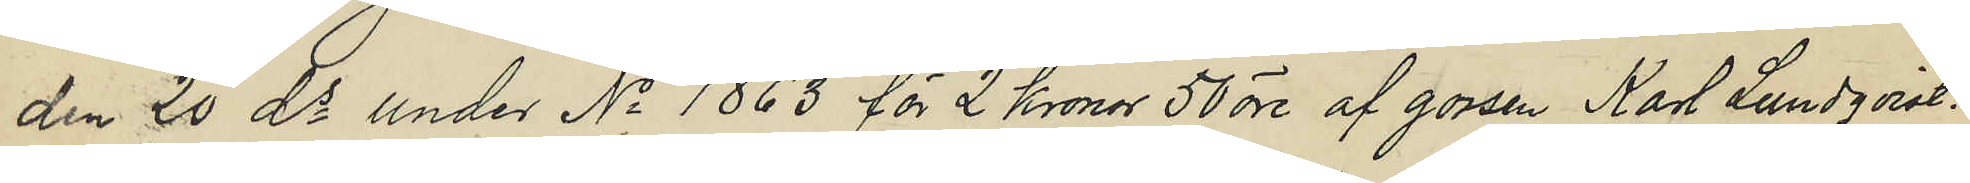den 20 ds under No 1863 för 2 Kronor 50 öre af gossen Karl Lundqvist.
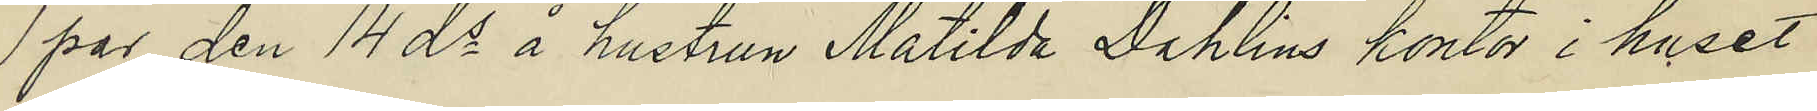1 par den 14 ds å hustrun Matilda Dahlins kontor i huset
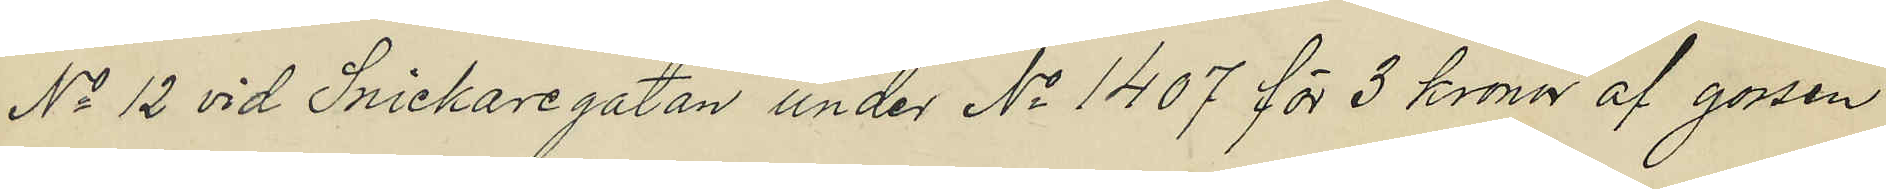No 12 vid Snickaregatan under No 1407 för 3 kronor af gossen
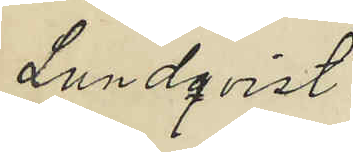Lundqvist.
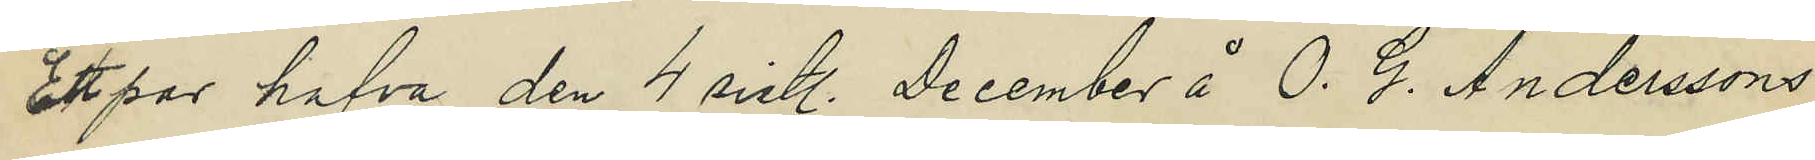Ett par hafva den 4 sistl. December å O. G. Anderssons
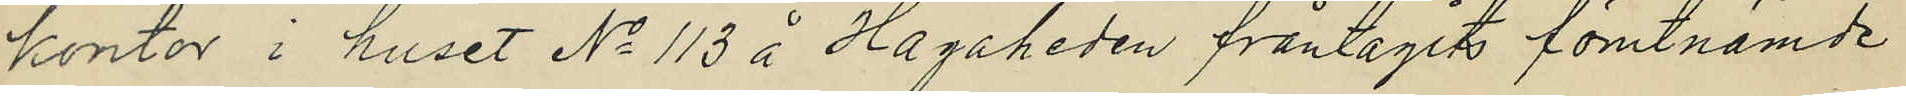kontor i huset No 113 å Hagaheden fråntagits förutnämde
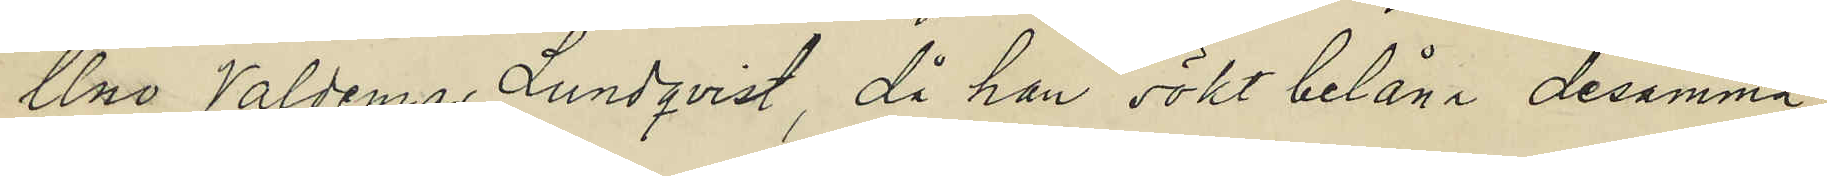Uno Valdemar Lundqvist, då han sökt belåna desamma,
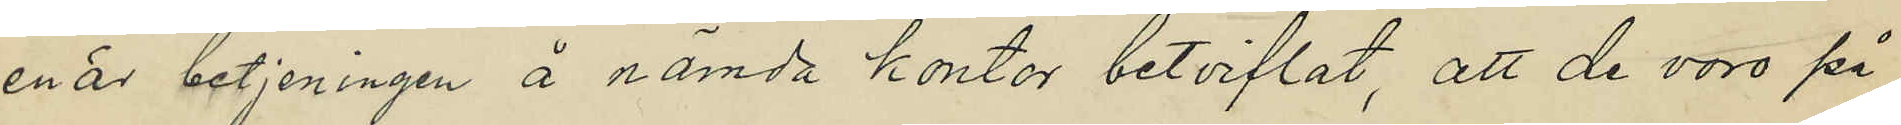enär betjeningen å nämda kontor betviflat, att de voro på
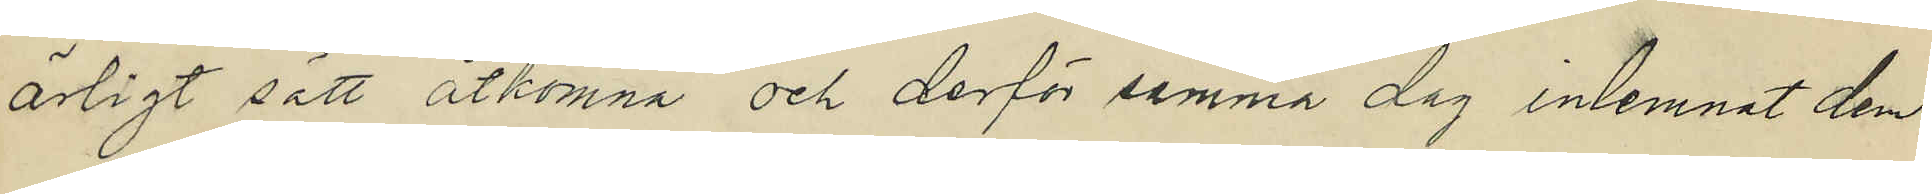ärligt sätt åtkomna och derför samma dag inlemnat dem
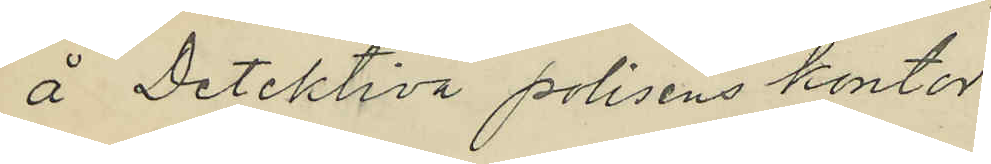å Detektiva polisens kontor.
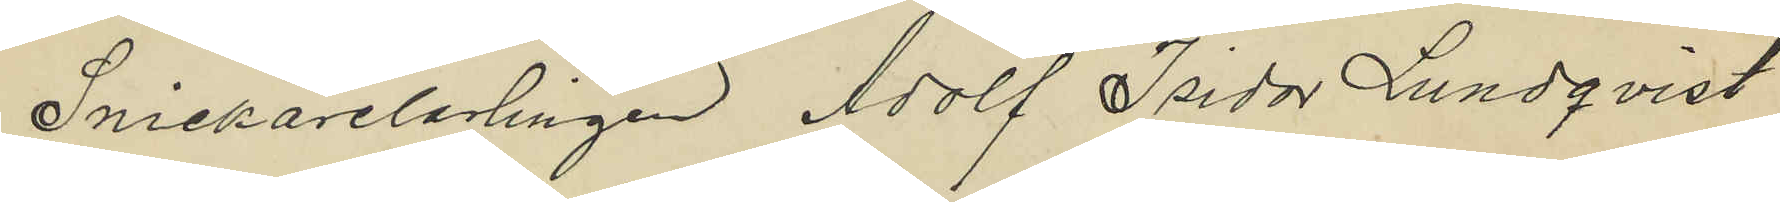Snickarelarlingen Adolf Isidor Lundqvist
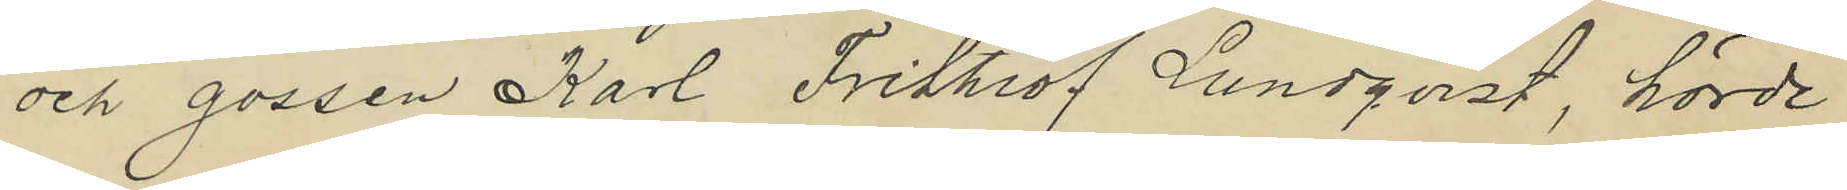och gossen Karl Frithiof Lundqvist, hörde
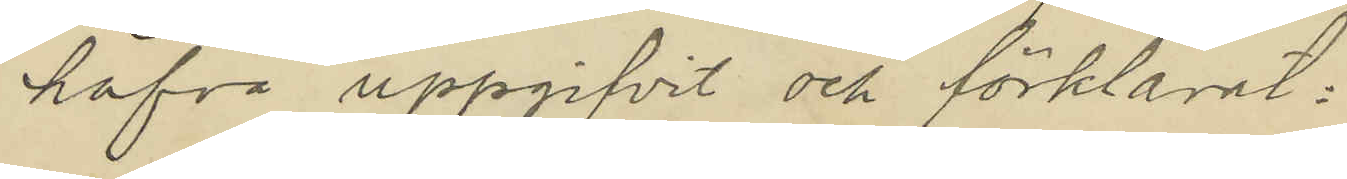hafva uppgifvit och förklarat:
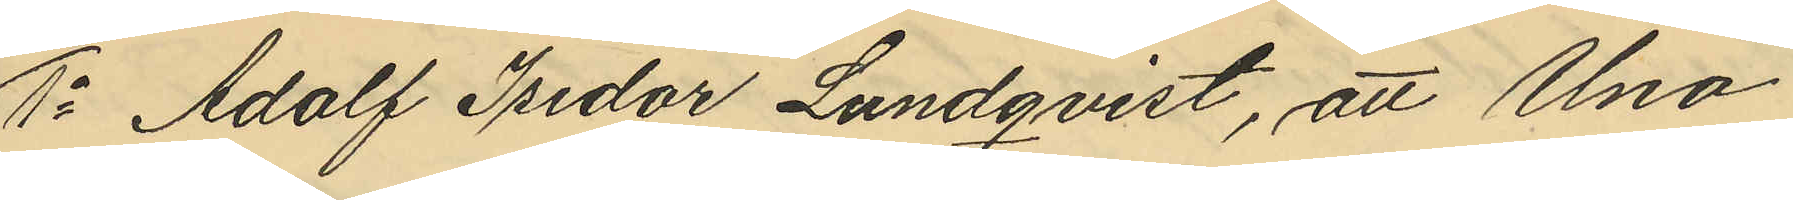1o Adolf Isidor Lundqvist, att Uno
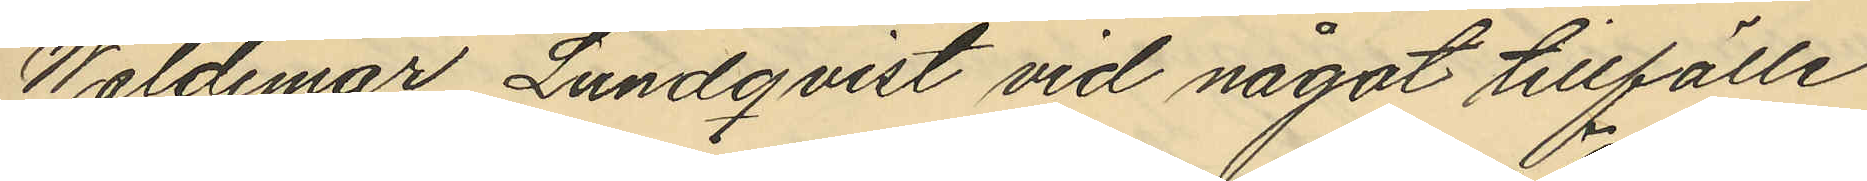Waldemar Lundqvist vid något tillfälle
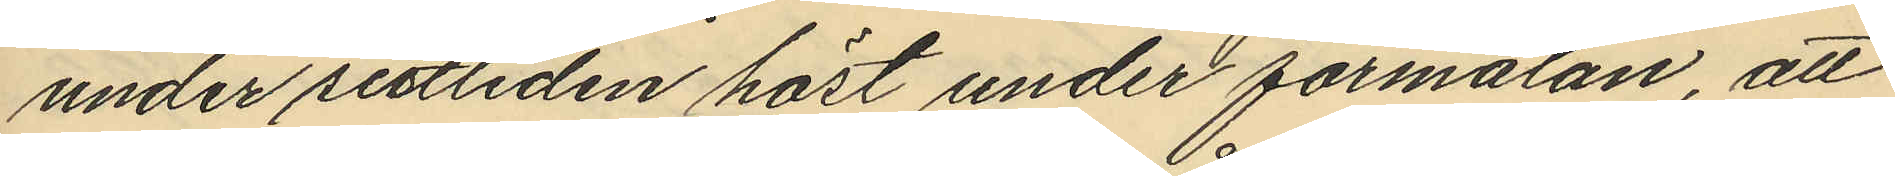under sistliden höst under förmälan, att
